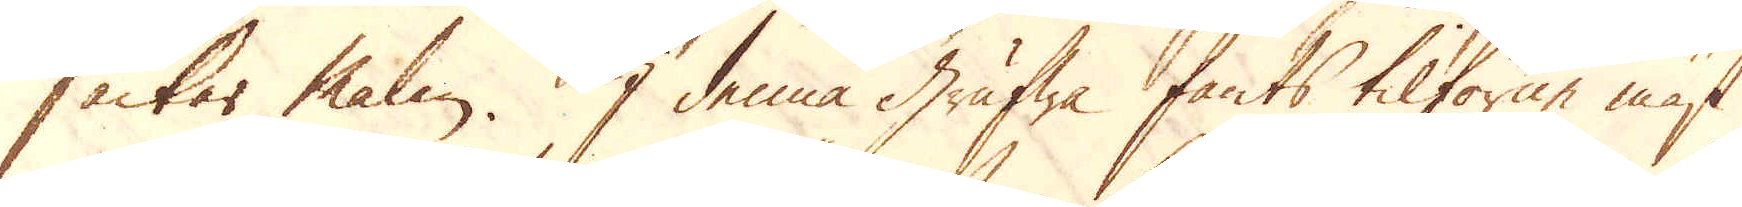säckar malm. I denna grufwa fants tilförne mäst
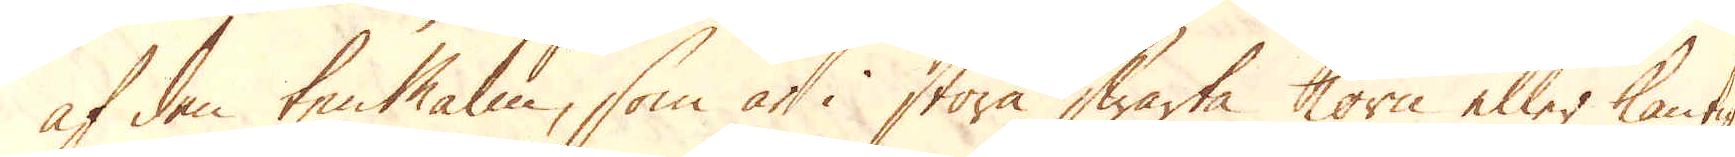af den tenMalm, som at i stora swarta korn eller kantig,
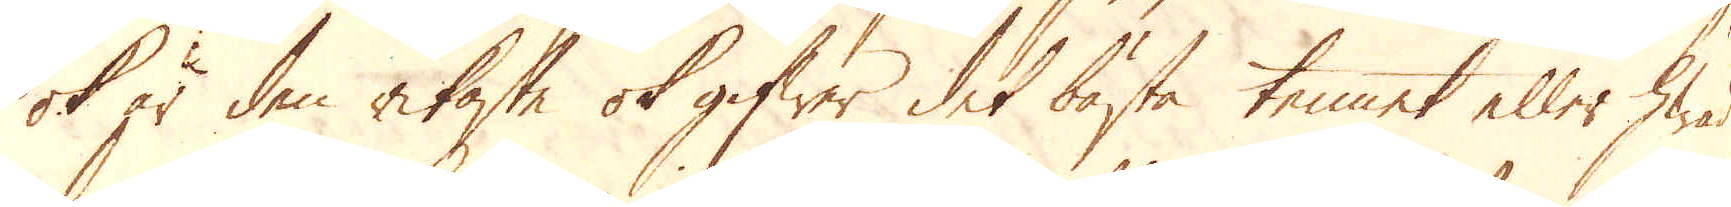ok är den rikaste ok gifwer det bästa tennet eller hwad
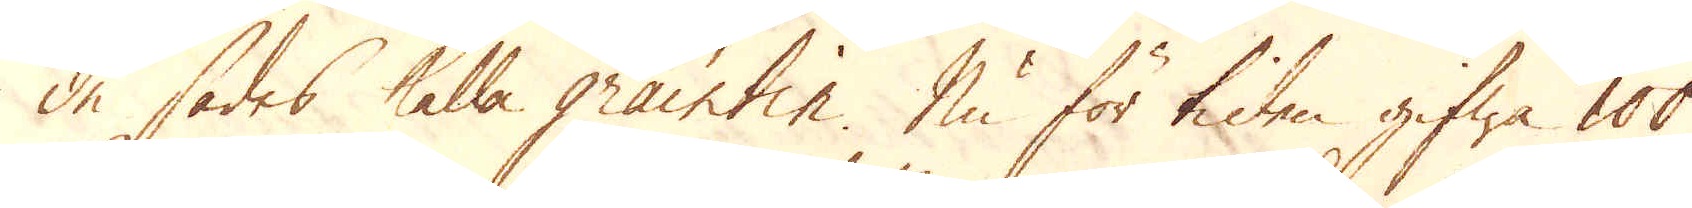de sades kalla graintin. Nu för tiden gifwa 100
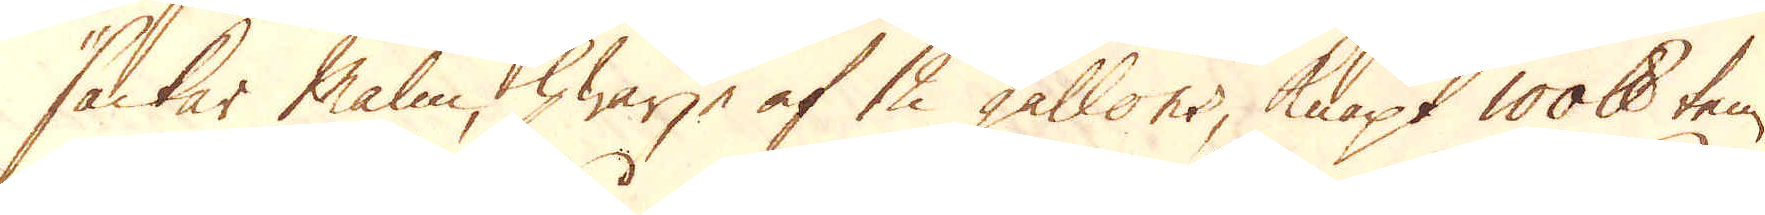säckar malm, hwarje af 12 gallons, knapt 100 skålpund ten.
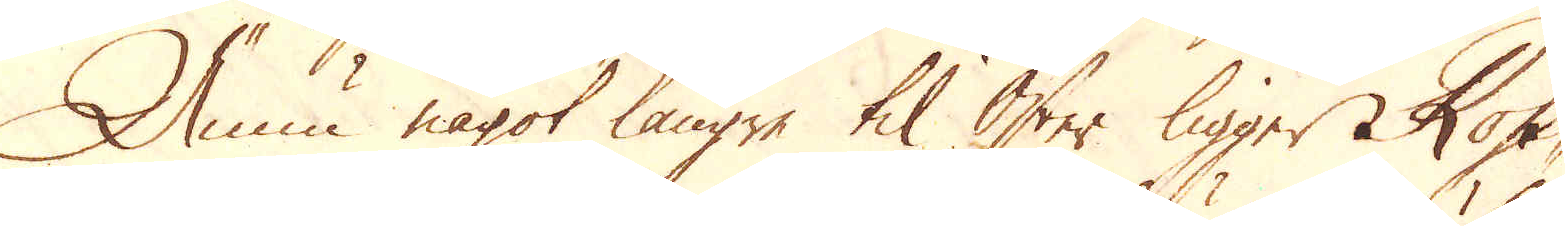Nu något längre til Öster ligger Ross-
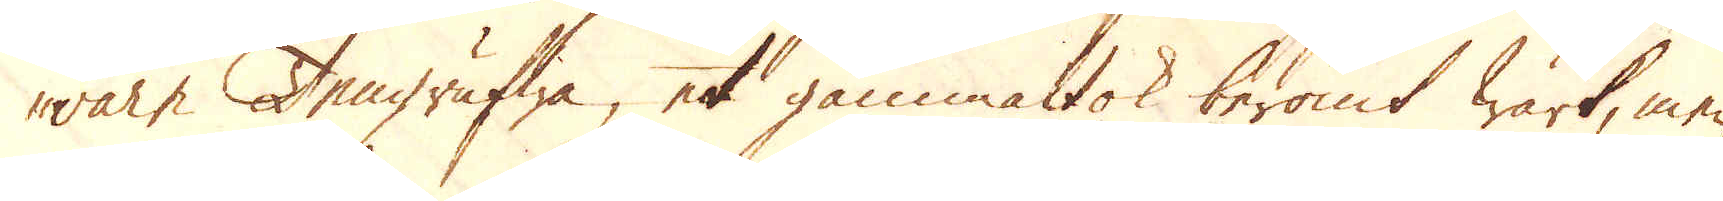ware Tengrufwa, et gammalt ok berömt wärk, men
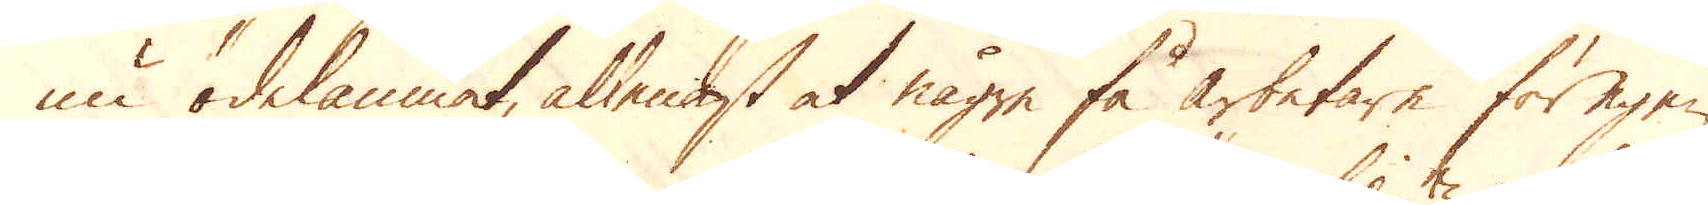nu ödelamnat, allenast at någre få arbetare för egen
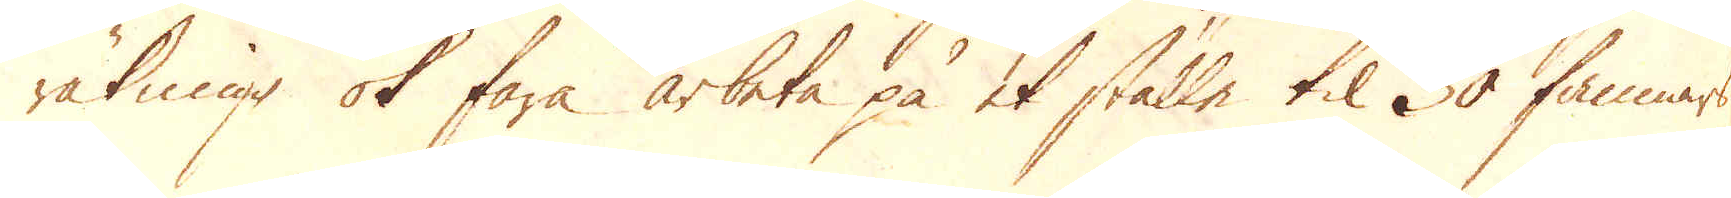räkning ok fara arbeta på et ställe til 30 famnars
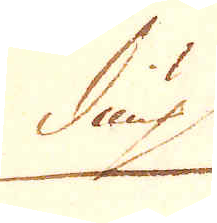diup
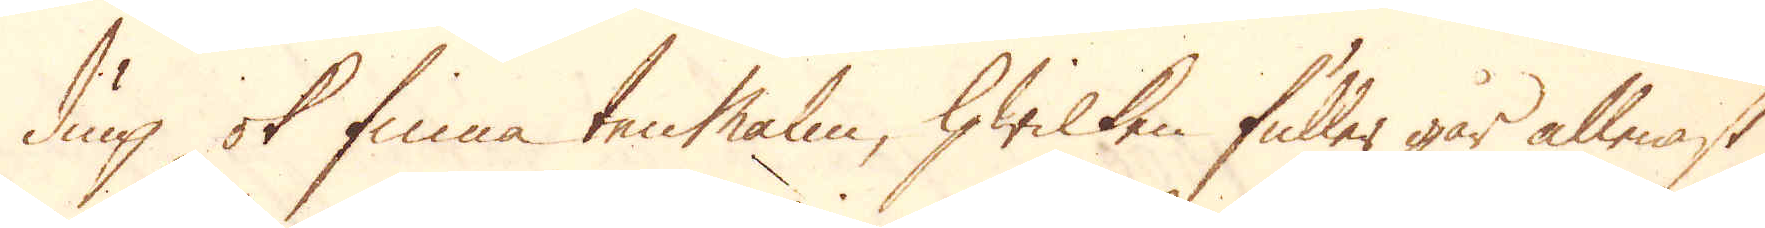diup ok finna ten Malm, hwilken fuller går allenast
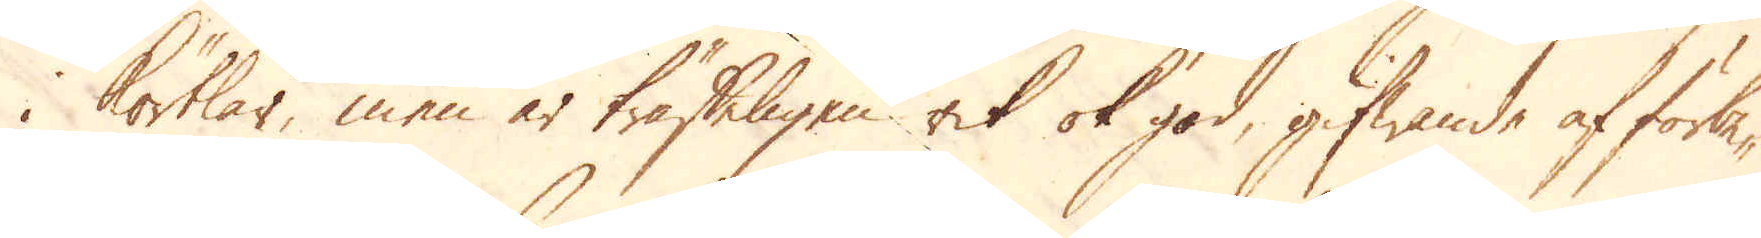i körtlar, men är träffeligen rik ok god, gifwande af förbe-
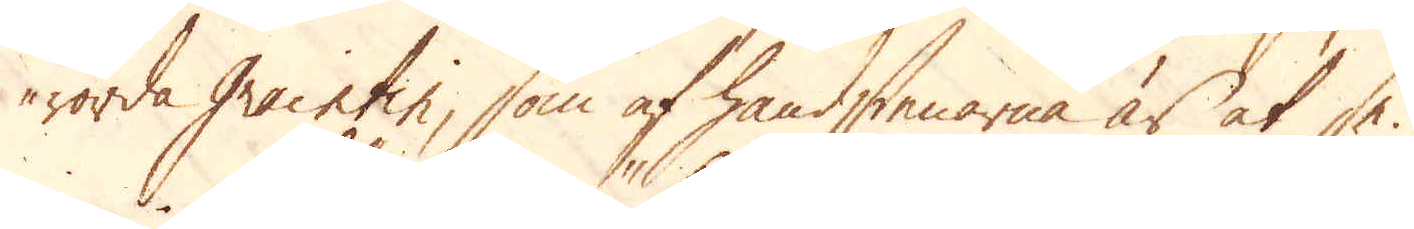rörda Graintin, som af handstenarne är at se.
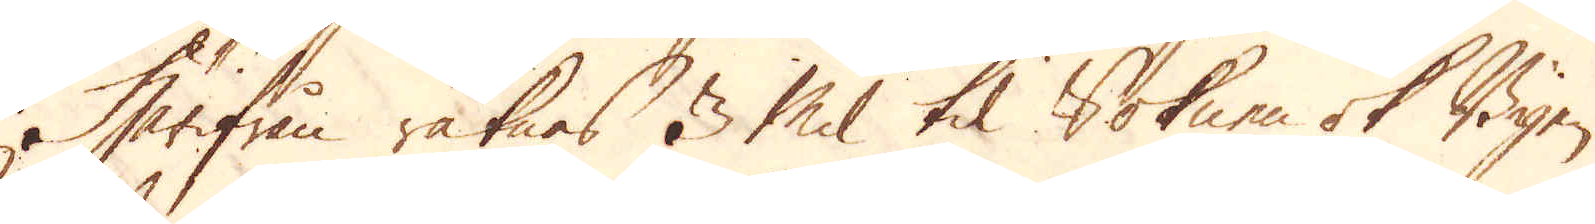Härifrån räknas 3 Mil til Soknen ok Byen
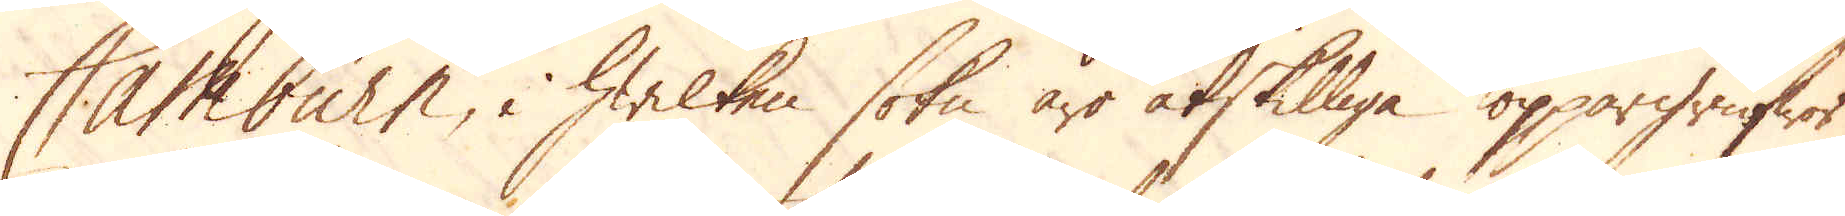Camburn, i hwilken sokn äro åtskilliga koppargrufwor
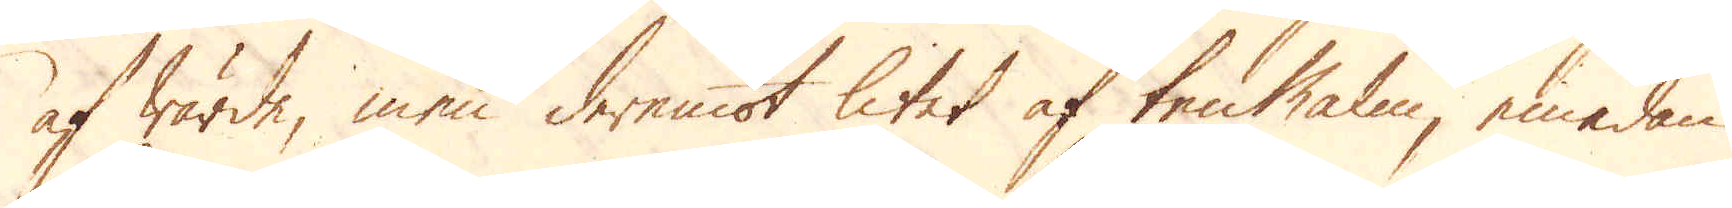af wärde, men deremot litet af tenmalm, emedan
